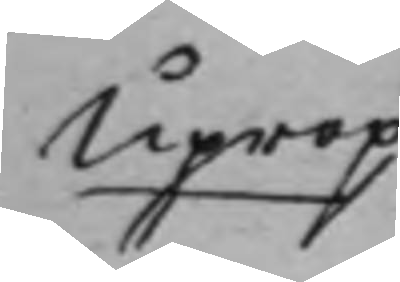Uprop
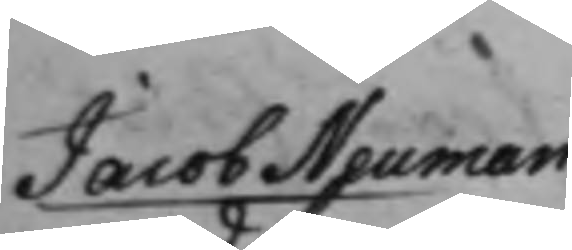Jacob Neuman
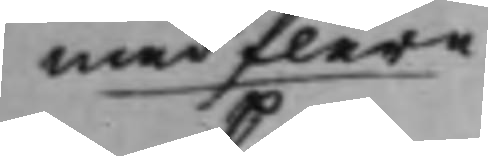med flere
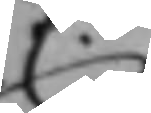C.
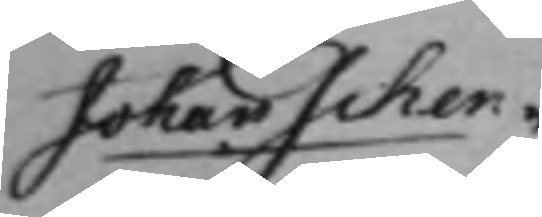Johan Schen¬
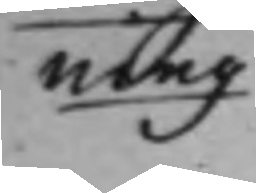ning
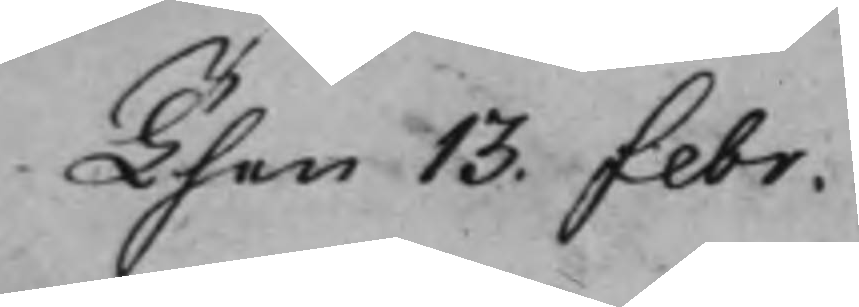Then 13. Febr.
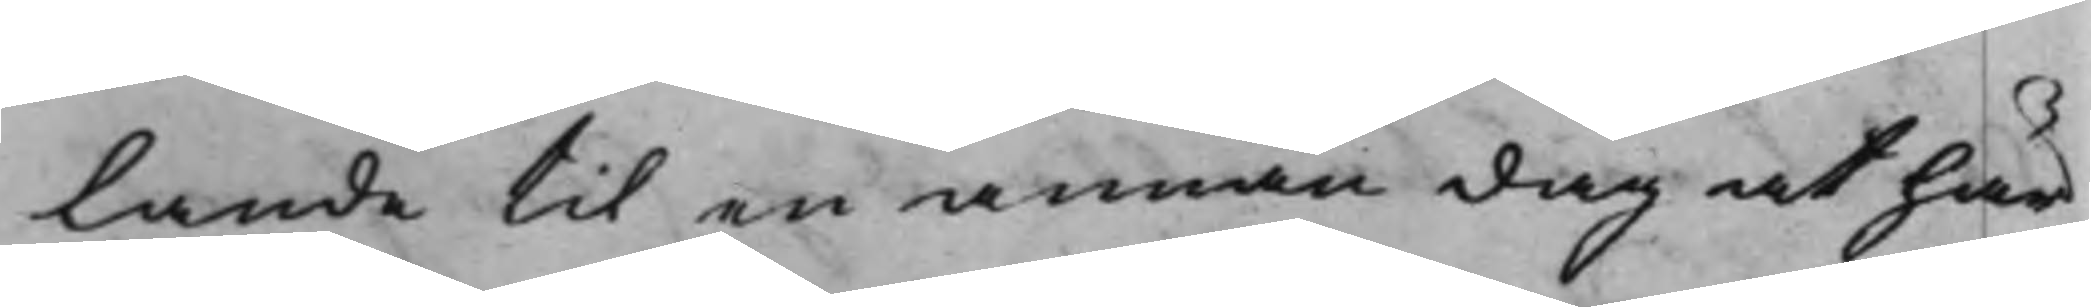lande til en annan dag at här¬
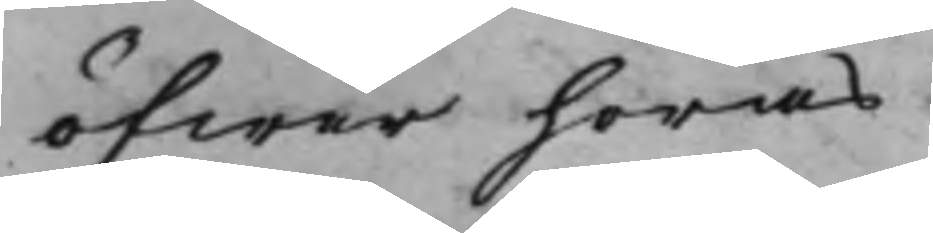öfwer höras.
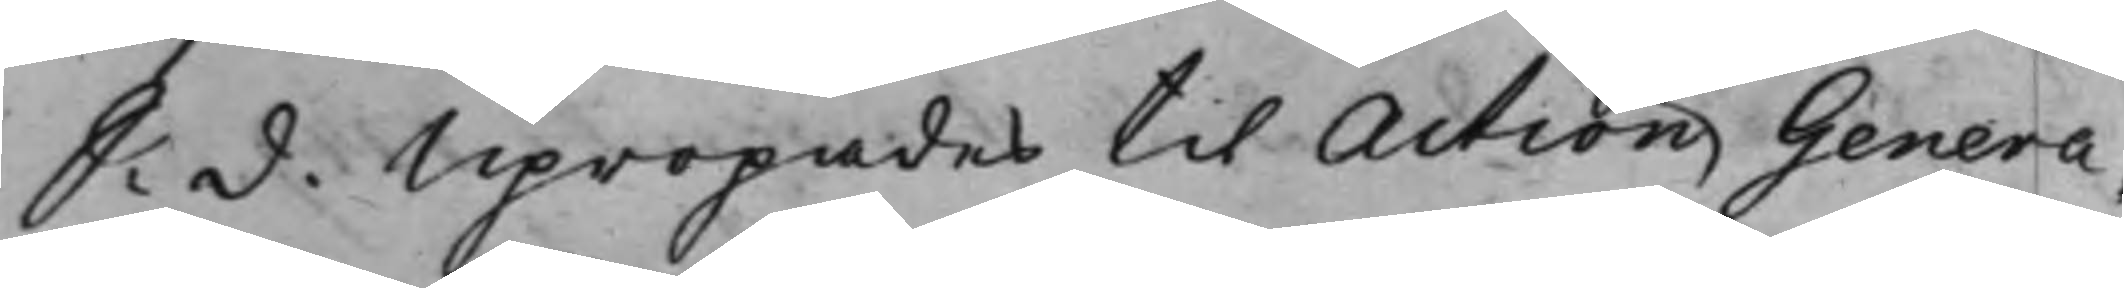S: d. Upropades til Action Genera¬
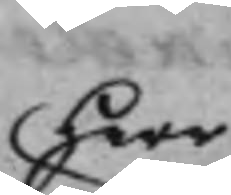Herr
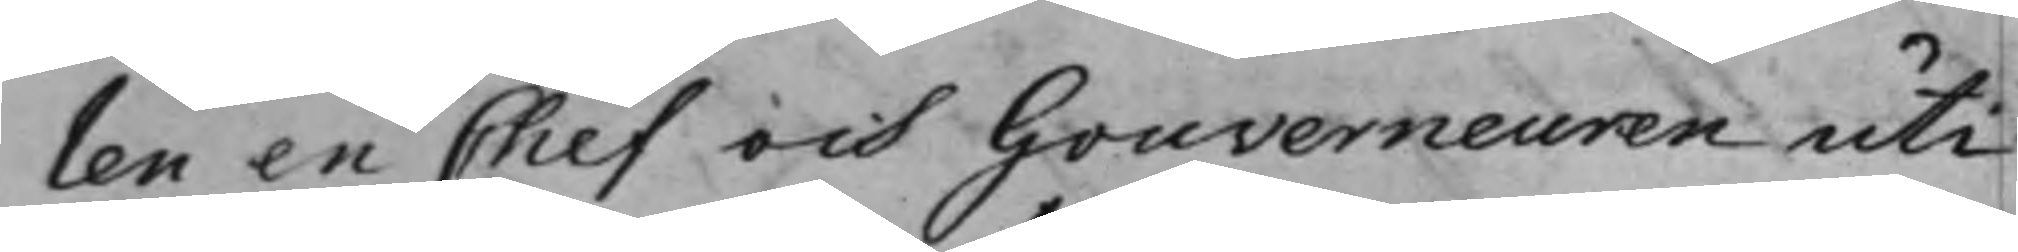len en Chef och Gouverneuren uti
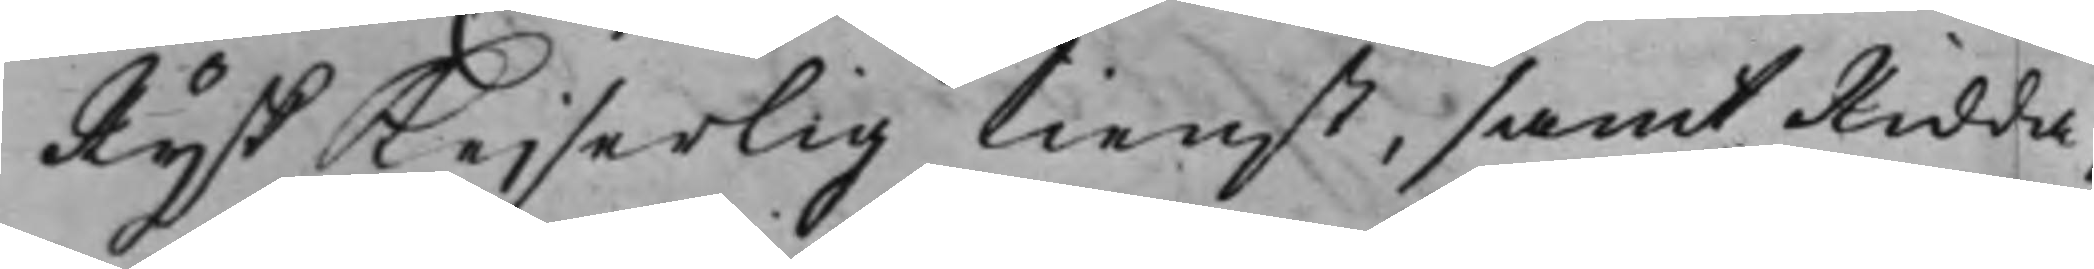Rysk Kejserlig tienst, samt Ridda¬
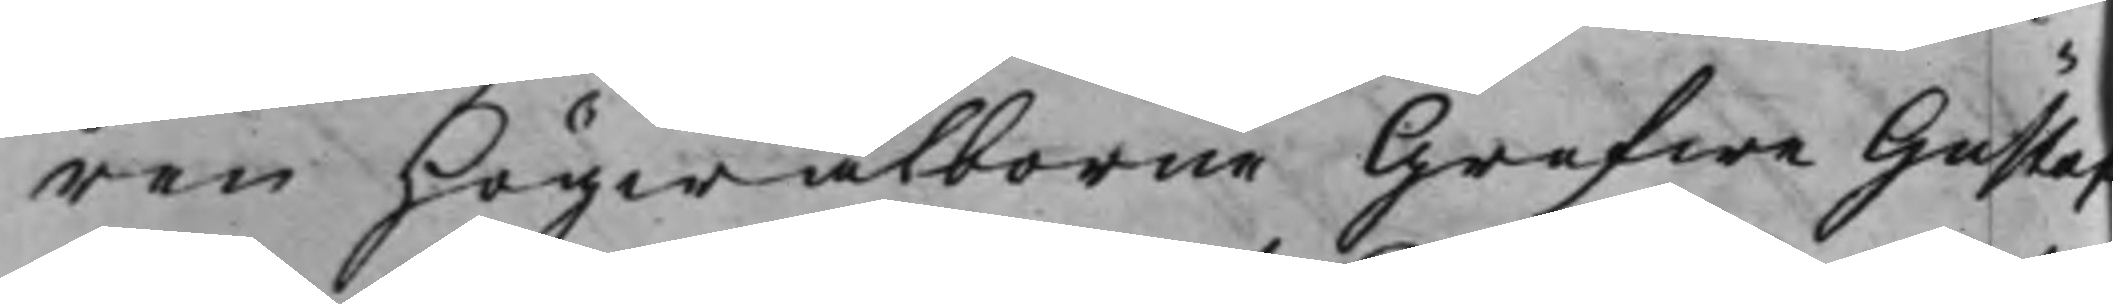ren Högwälborne Grefwe Gustaf
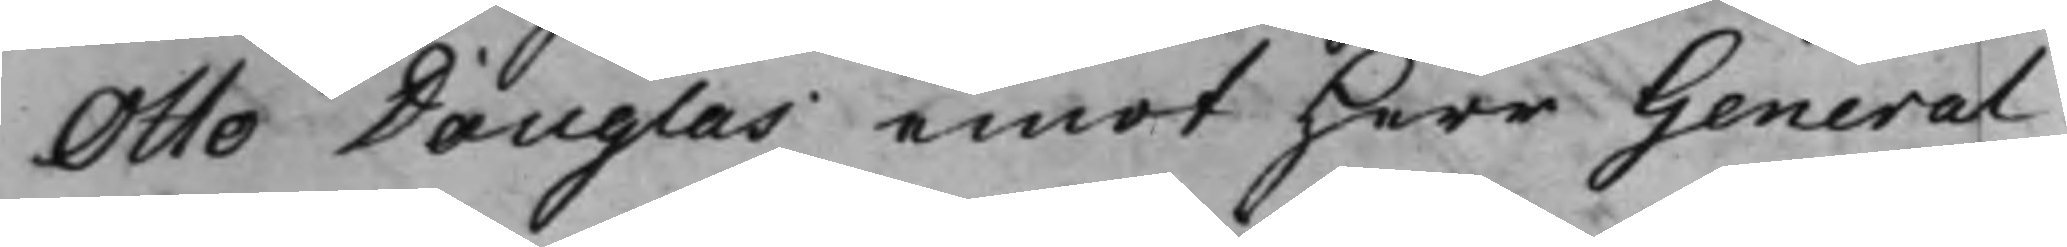Otto Douglas emot Herr General¬
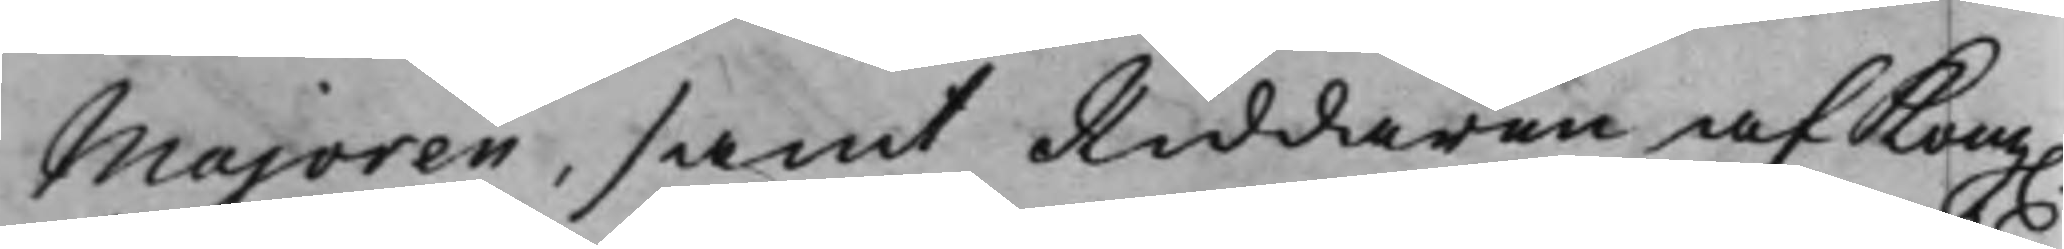Majoren, samt Riddaren af Kong.
